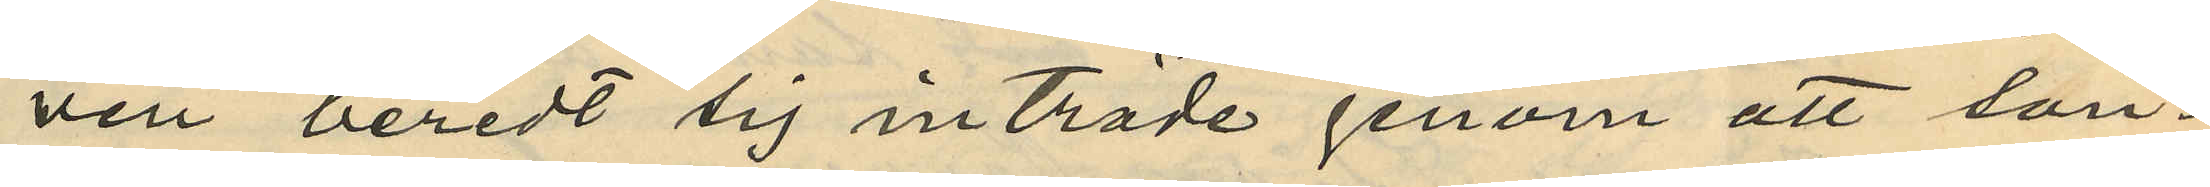ven beredt sig inträde genom att sön¬
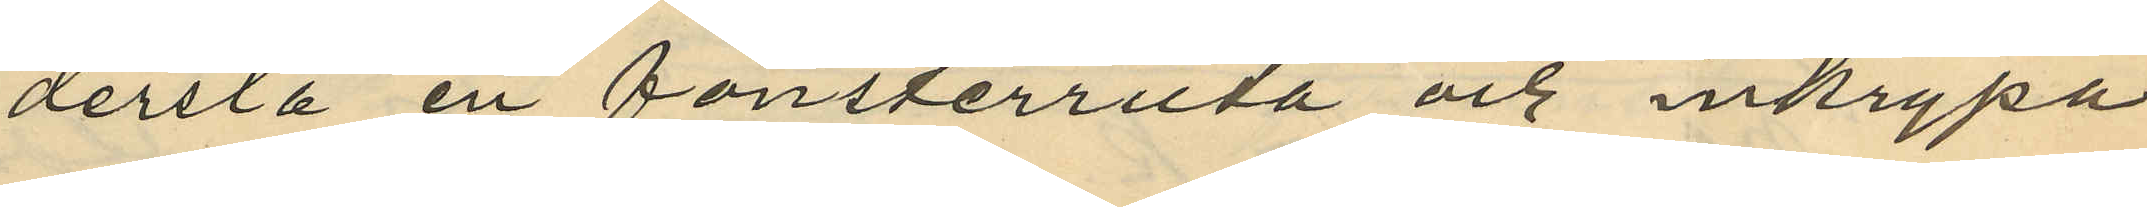derslå en fönsterruta och inkrypa
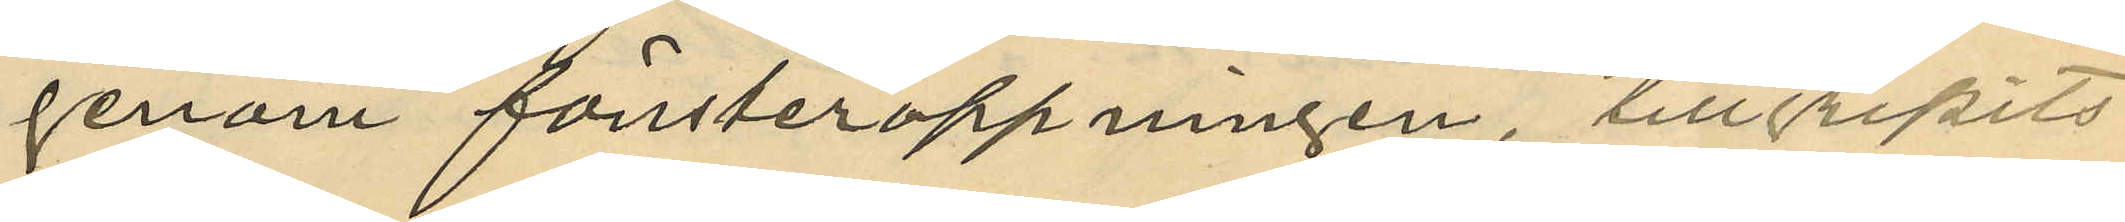genom fönsteröppningen, tillgripits
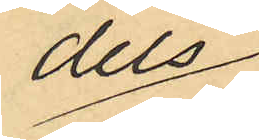dels
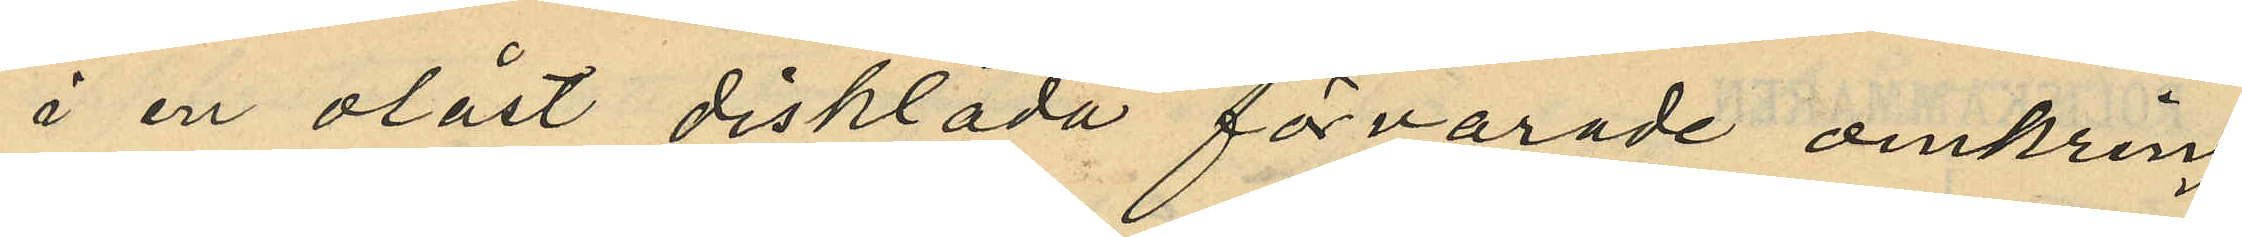å en olåst disklåda förvarade omkring
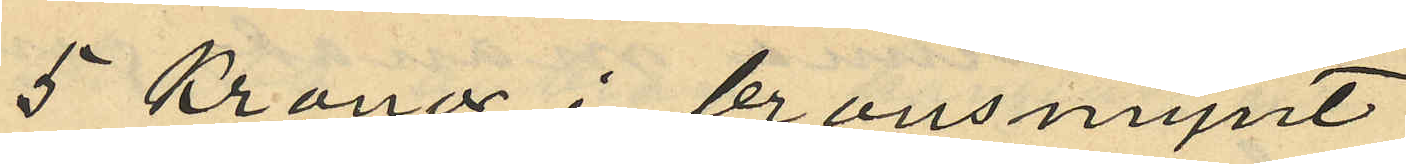5 Kronor i bronsmynt
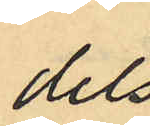dels
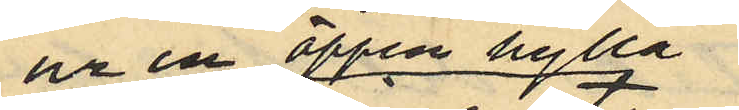ur en öppen hylla
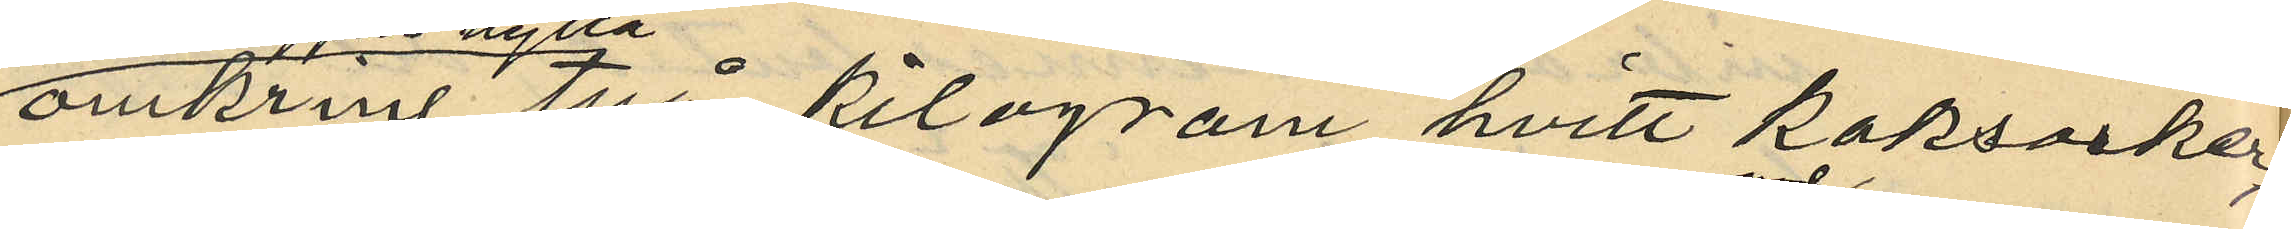omkring två kilogram hvitt kaksocker
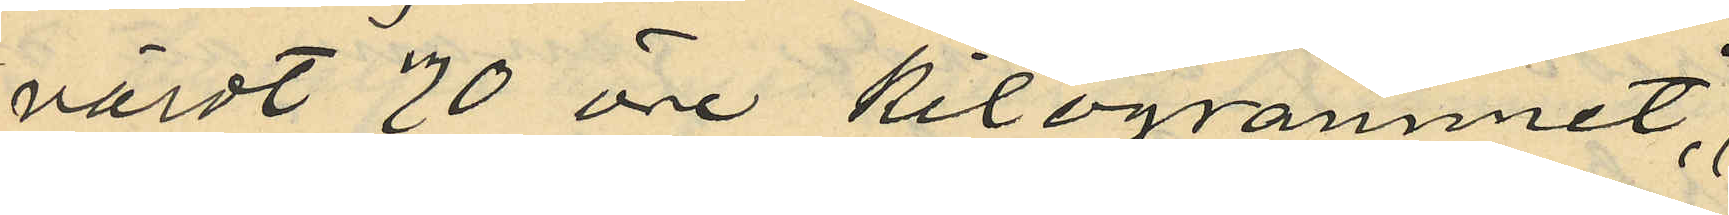värdt 70 öre kilogrammet,
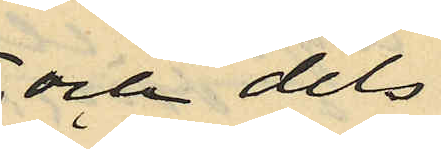och dels
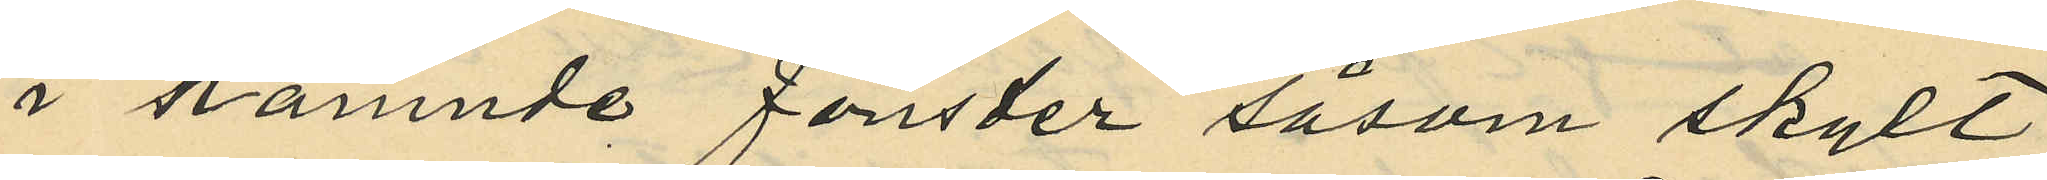i nämnde fönster såsom skylt
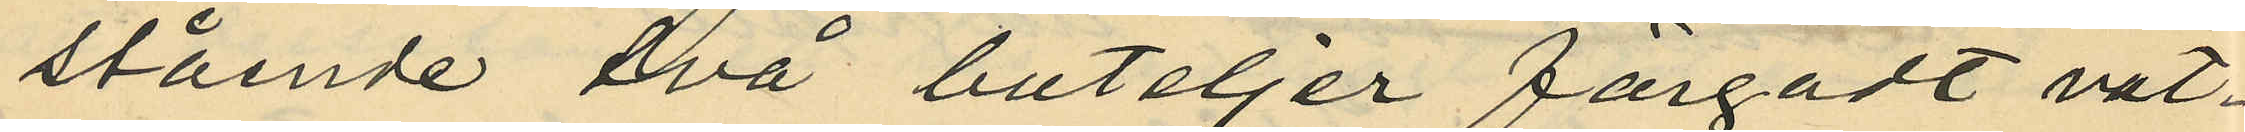stående två buteljer färgadt vat¬
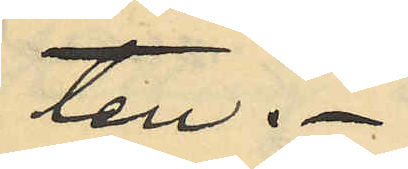ten.
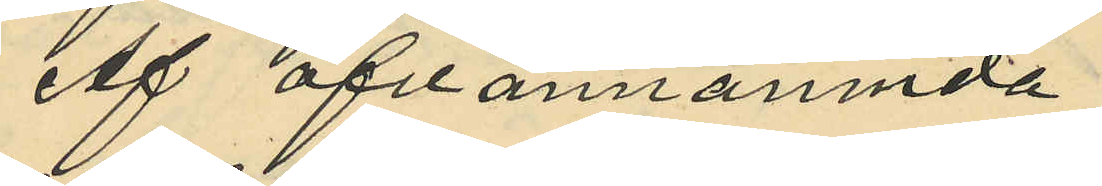Af ofvannämnda
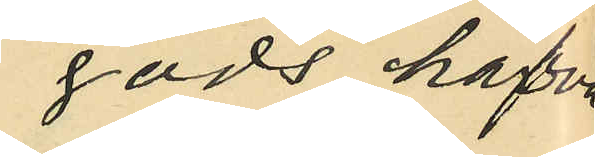gods hafva
